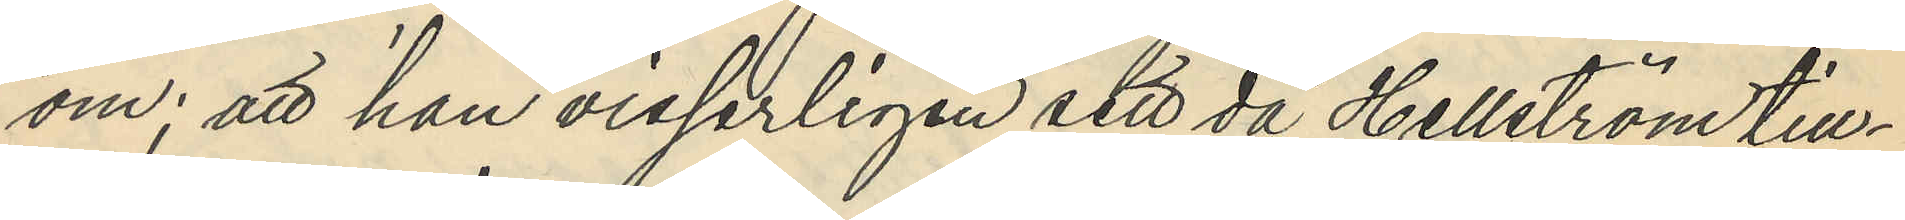om; att han visserligen sett då Hellström till¬
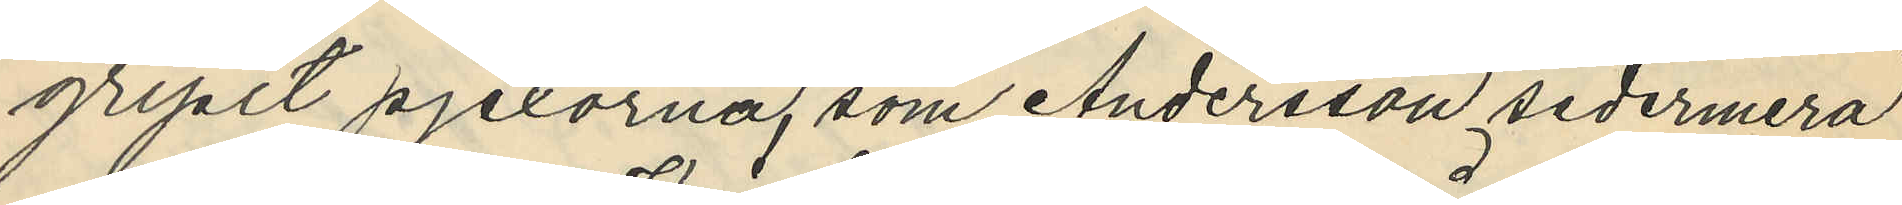gripit pjexorna, som Andersson sedermera
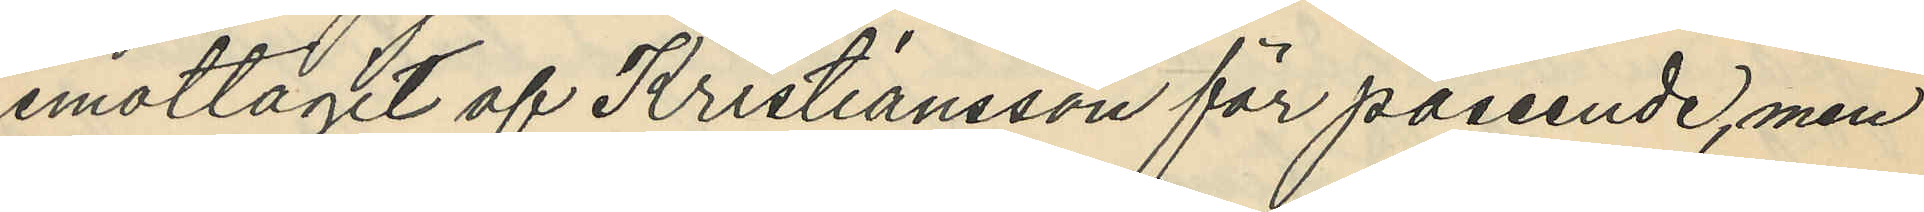emottagit af Kristiansson för påseende, men
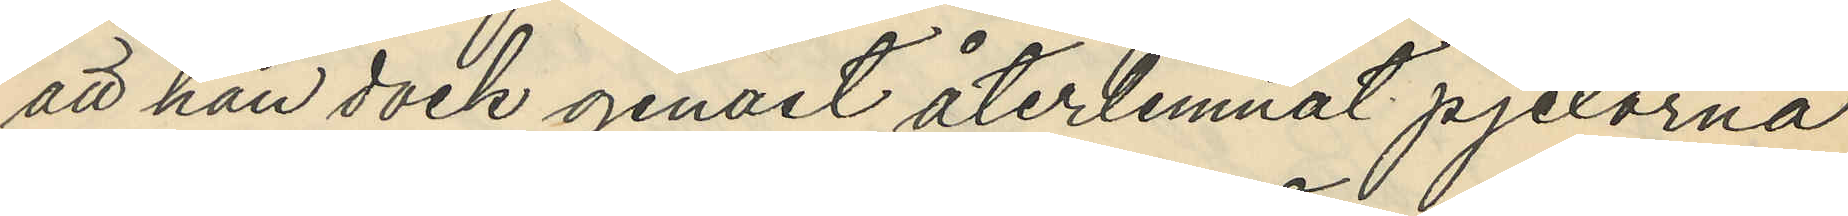att han dock genast återlemnat pjexorna
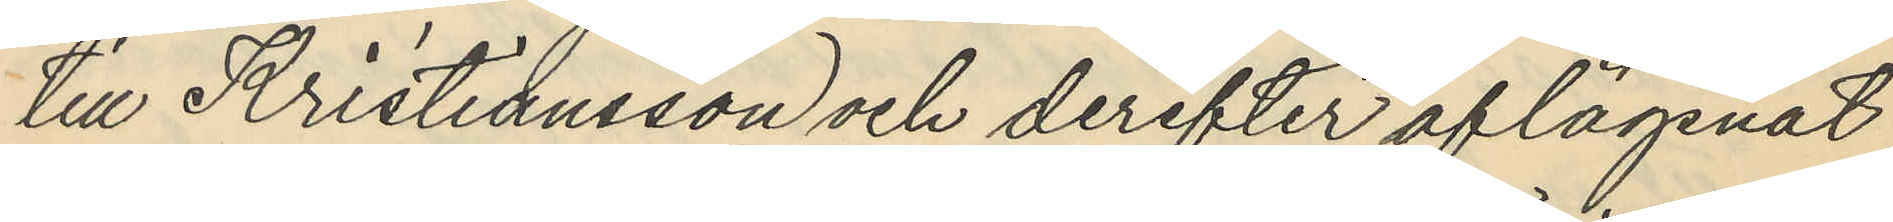till Kristiansson och derefter aflägsnat
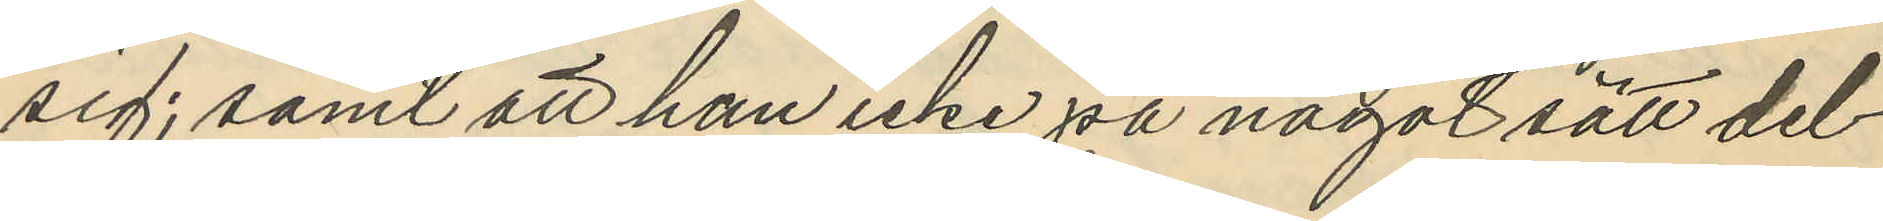sig; samt att han icke på något sätt del¬
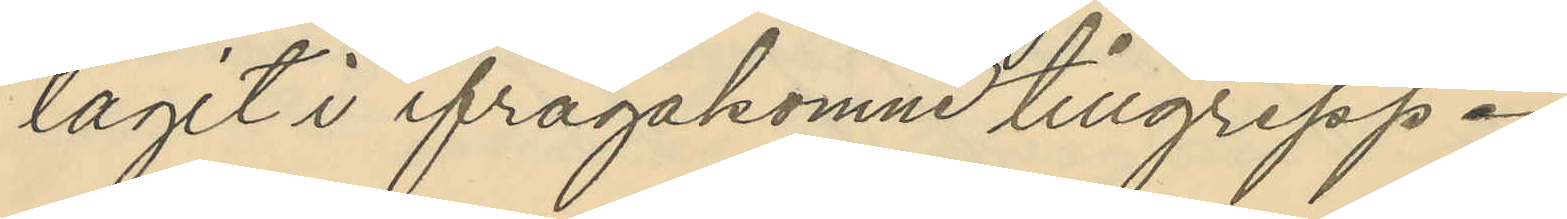ragit i ifrågakomne tillgrepp.
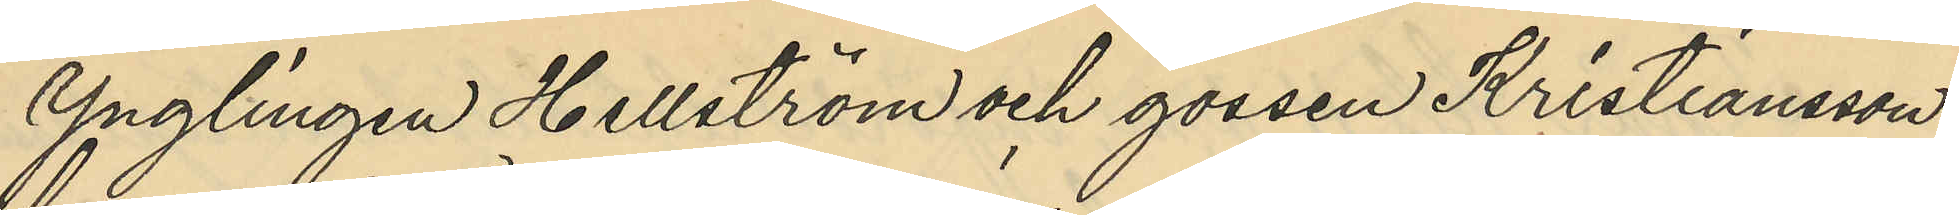Ynglingen Hellström och gossen Kristiansson
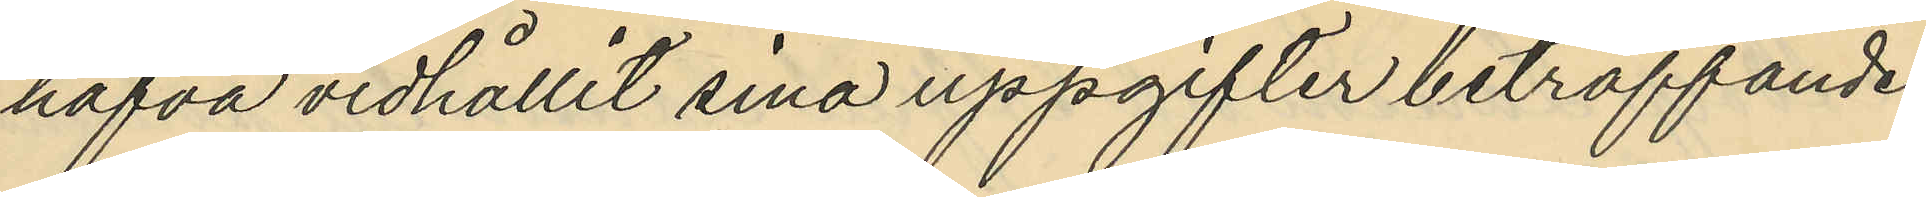hafva vidhållit sina uppgifter beträffande
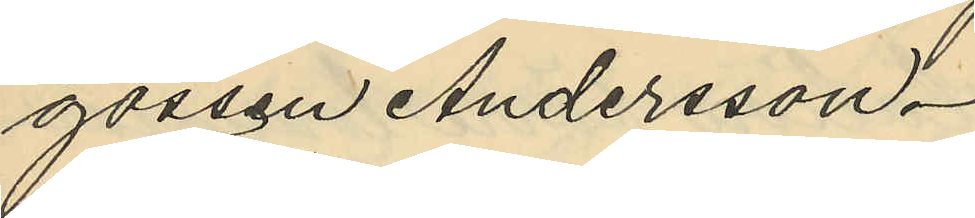gossen Andersson.
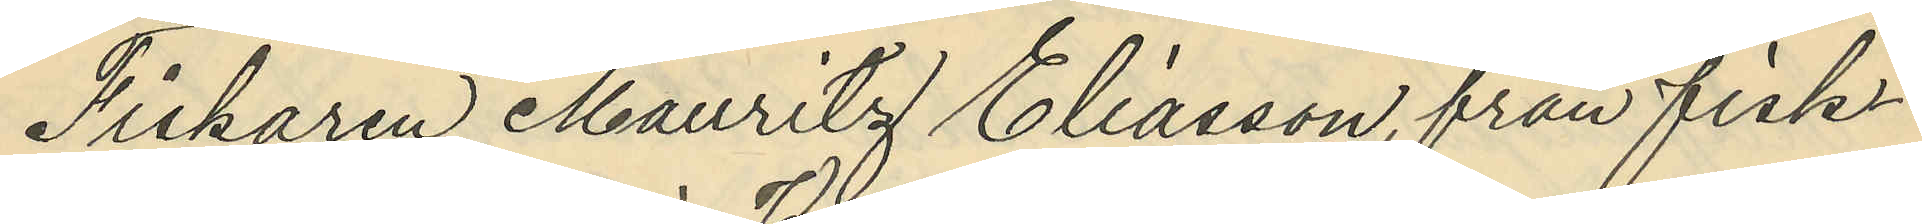Fiskaren Mauritz Eliasson, från fisk¬
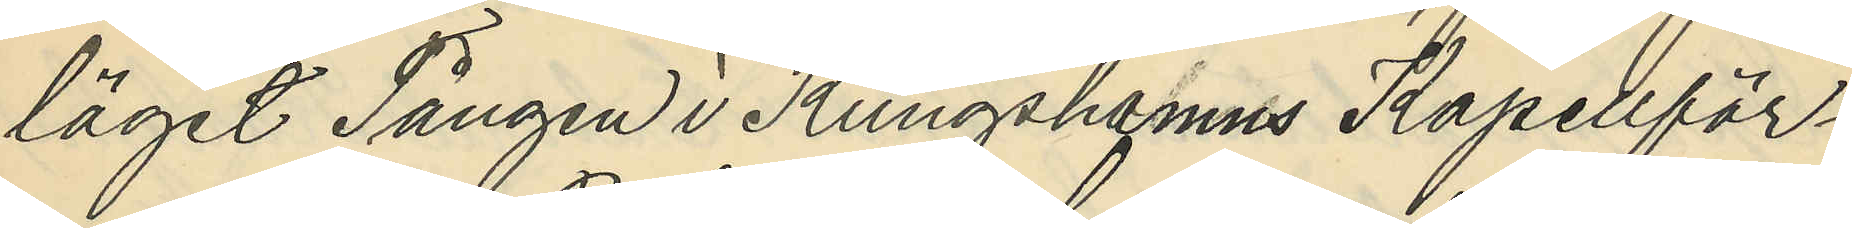läget Tången i Kungshamns Kapellför¬
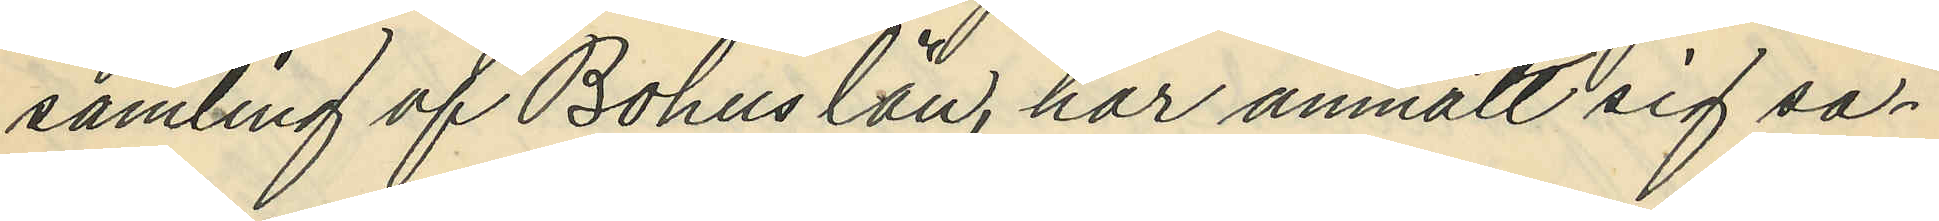samling af Bohuslän, har anmält sig så¬
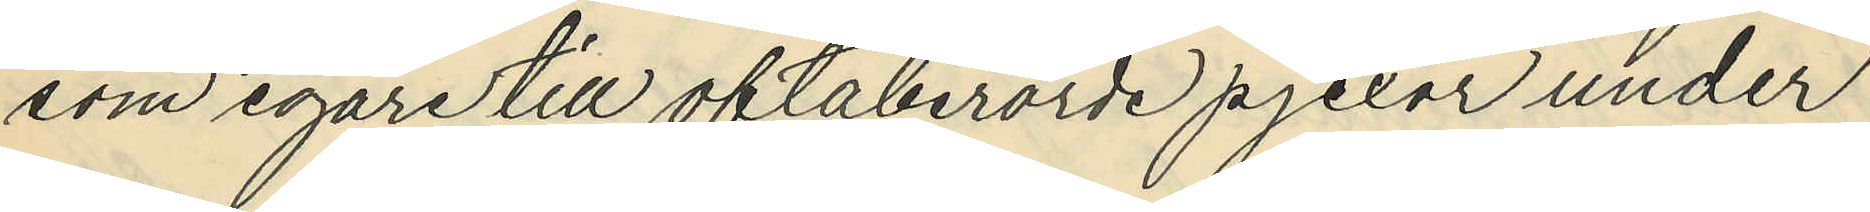som egare till oftaberörde pjexor under
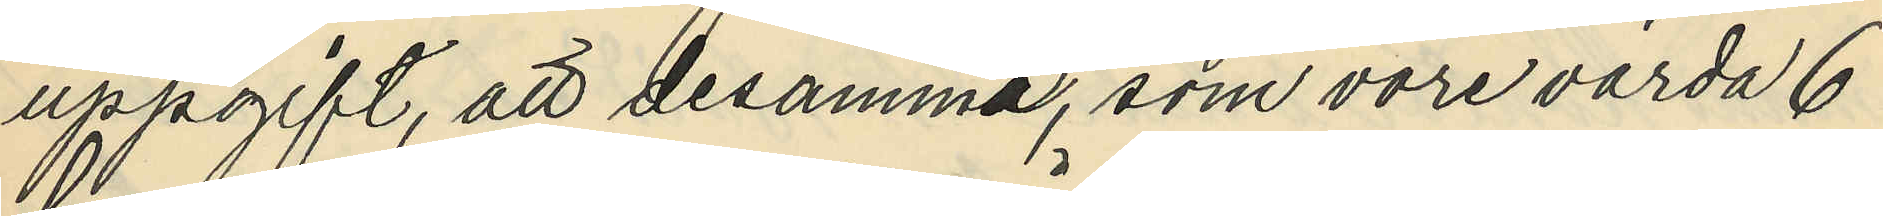uppgift, att desamma, som vore värda 6
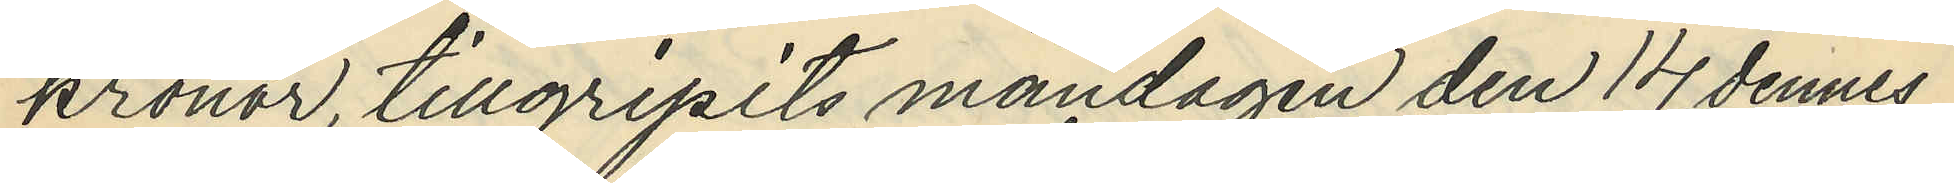kronor, tillgripits måndagen den 14 dennes
